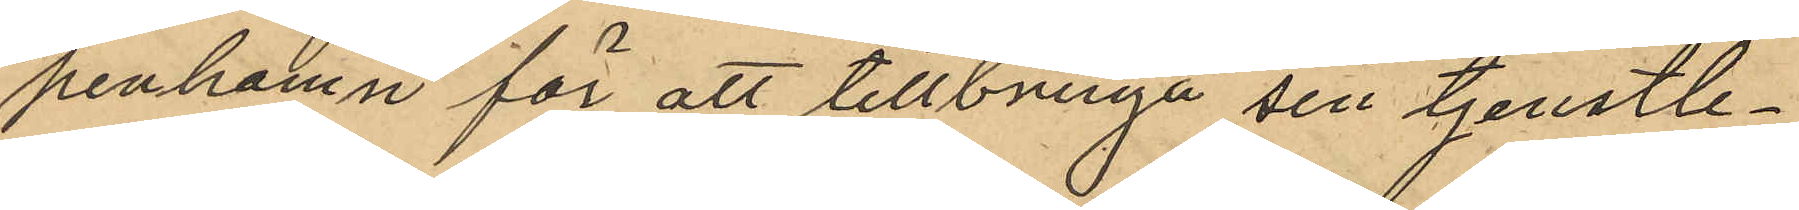penhamn för att tillbringa sin tjenstle¬
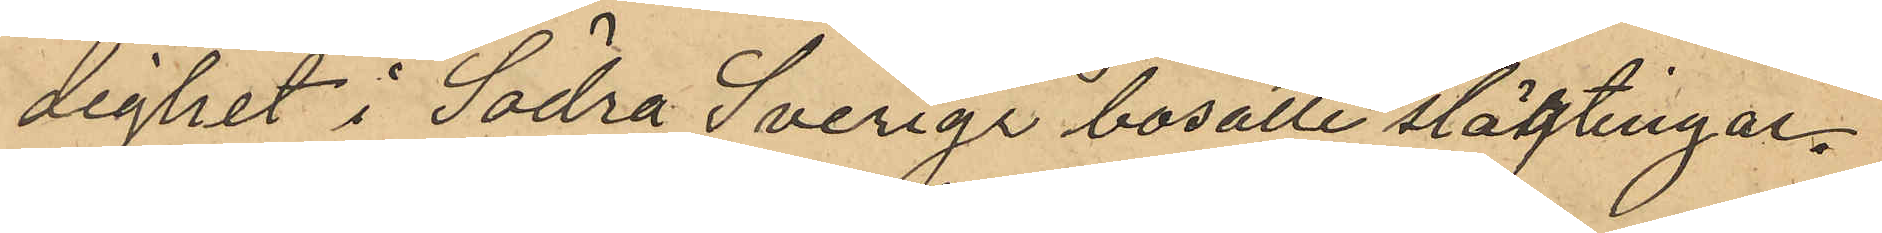dighet i Södra Sverige bosatte slägtingar.
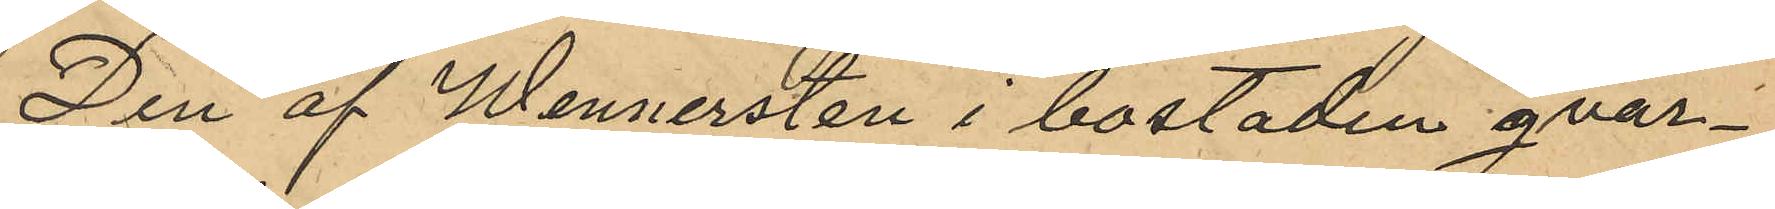Den af Wennersten i bostaden qvar¬
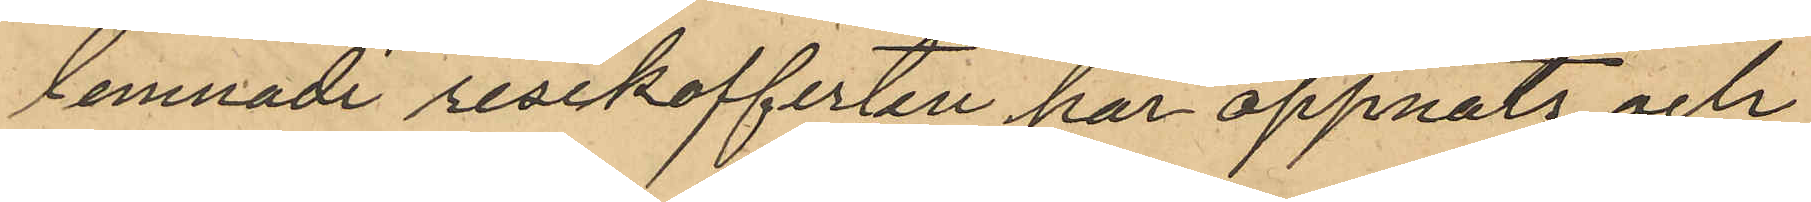lemnade resekofferten har öppnats och
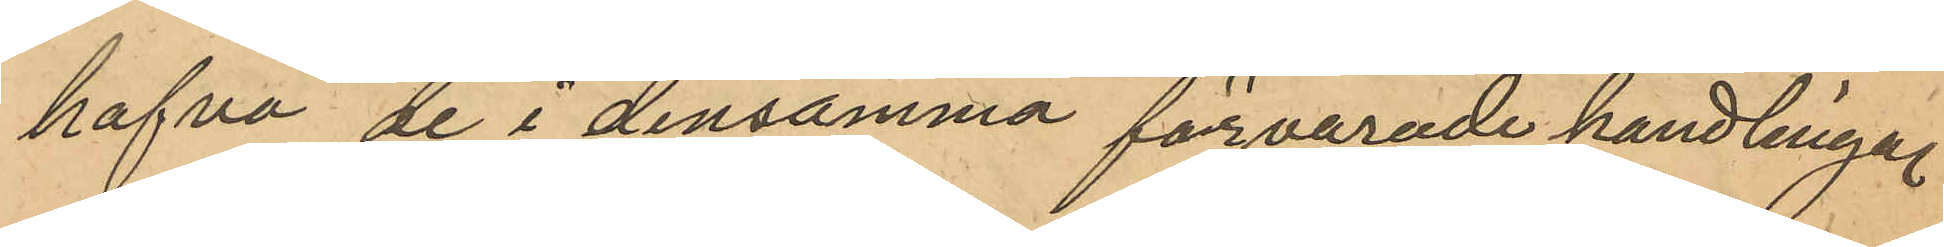hafva de i densamma förvarade handlingar
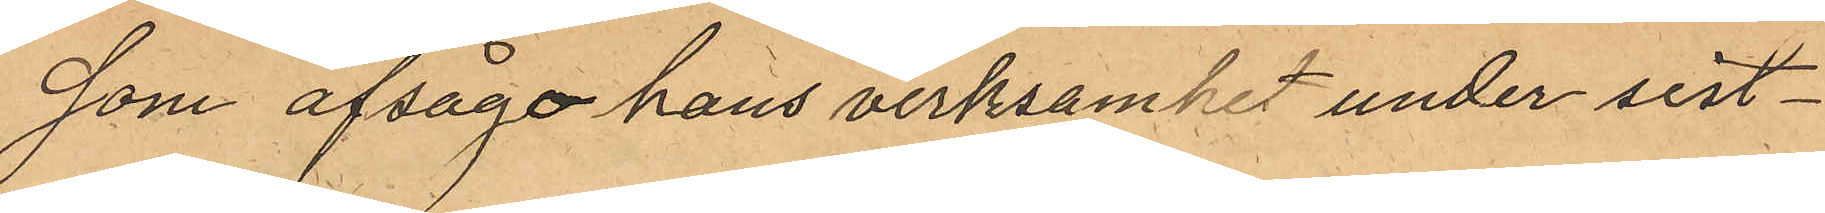som afsågo hans verksamhet under sist¬
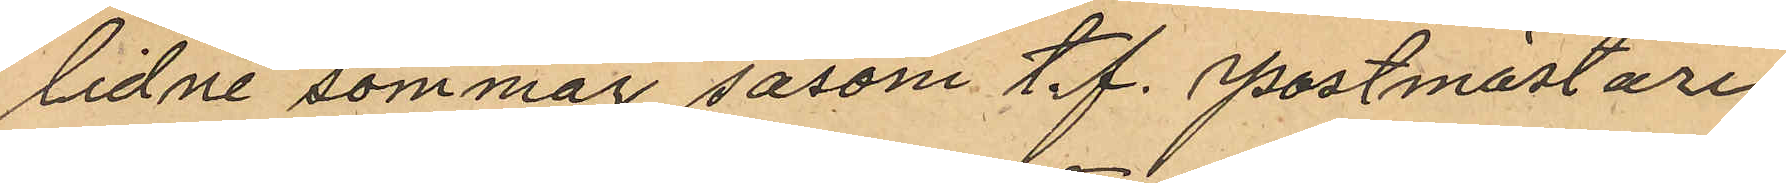lidne sommar såsom t.f. Postmästare
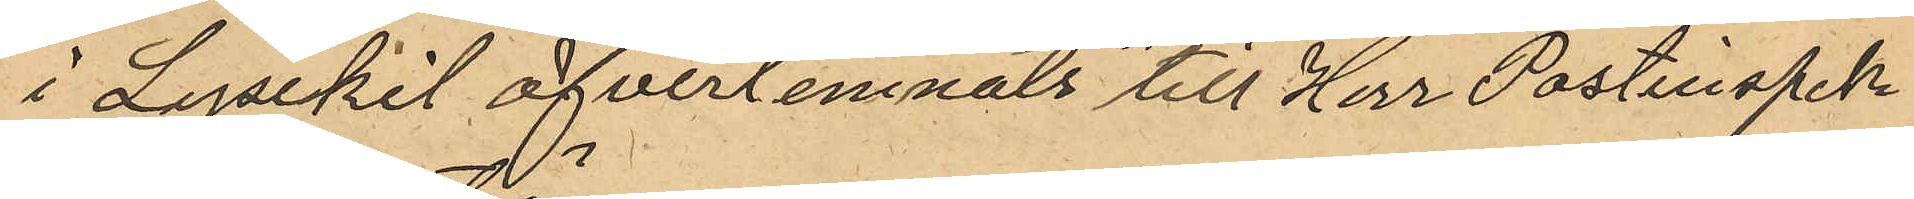i Lysekil öfverlemnats till Herr Postinspek¬
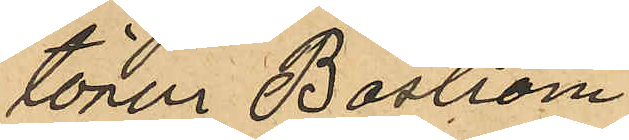tören Boström.
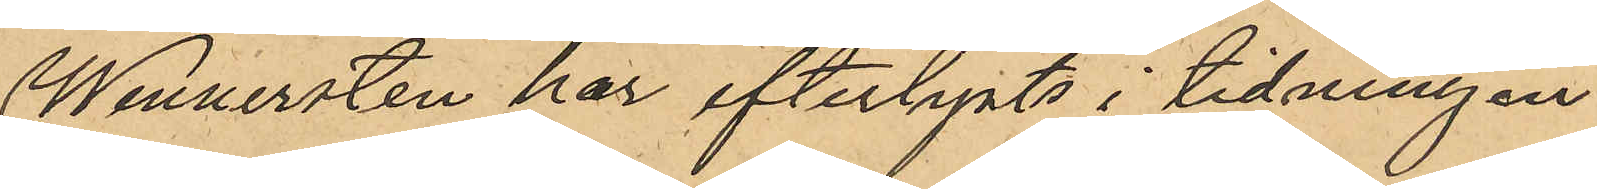Wennersten har efterlysts i tidningen
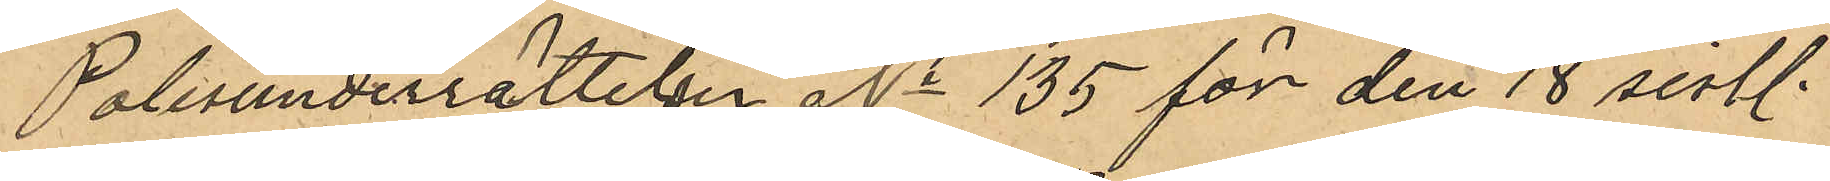Polisunderrättelser No 135 för den 18 sistl.
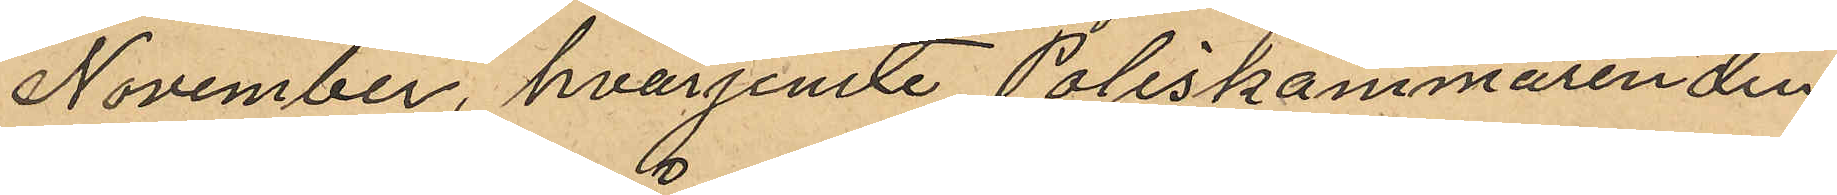November, hvarjemte Poliskammaren den
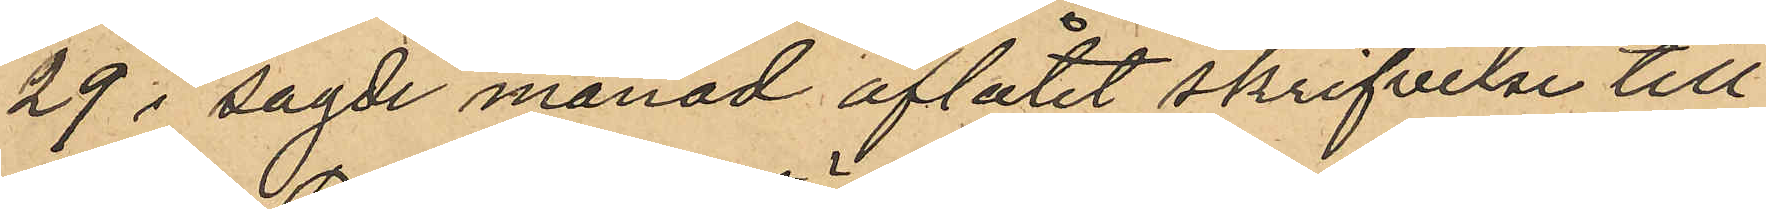29 i sagde månad aflåtit skrifvelse till
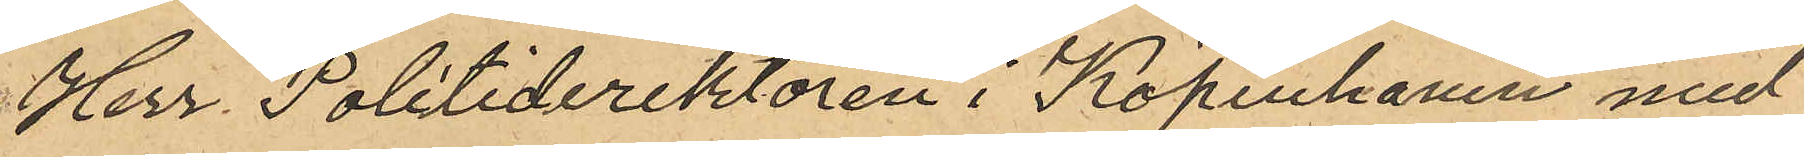Herr Politiderektören i Köpenhamn med
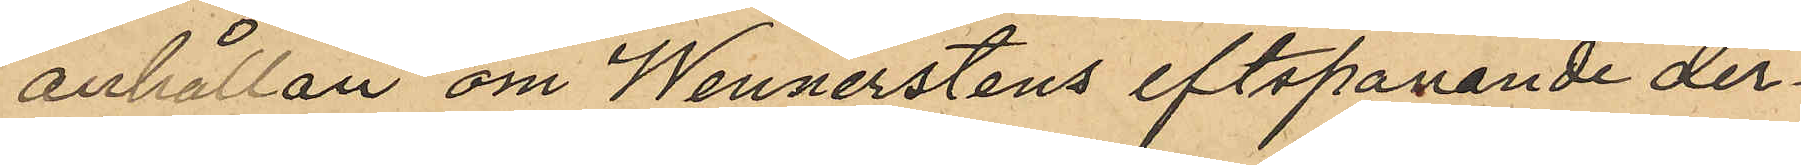anhållan om Wennerstens eftspanande der¬
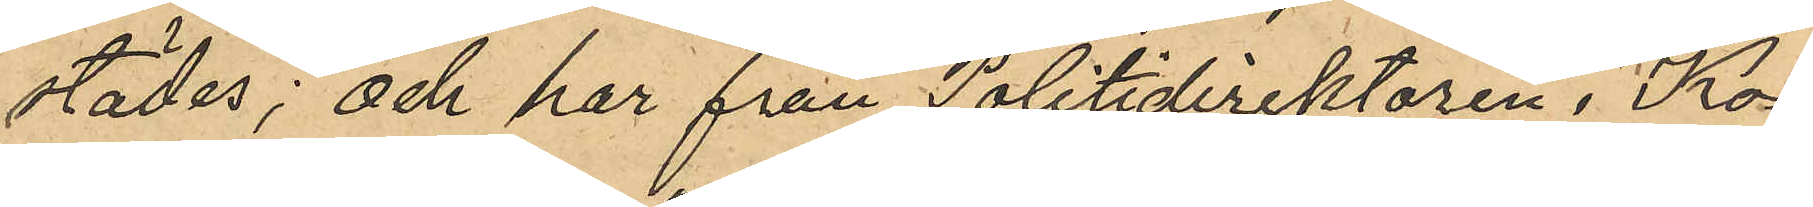städes; och har från Politidirektören i Ko¬
